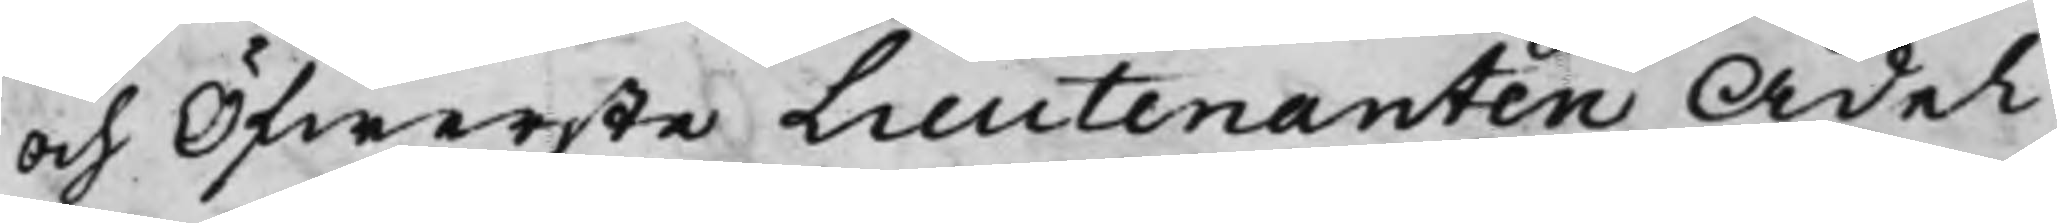och Öfwerste Lieutenanten Ädel
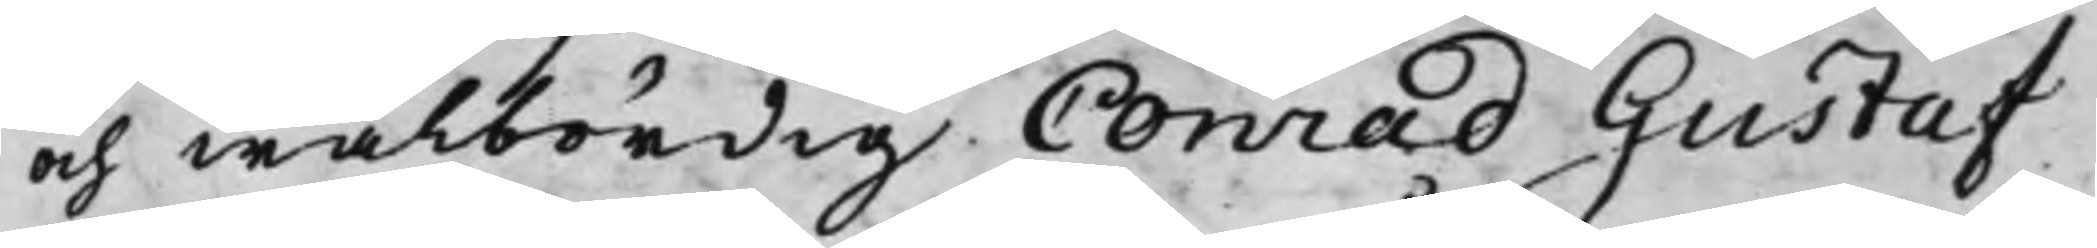och wälbördig Conrad Gustaf
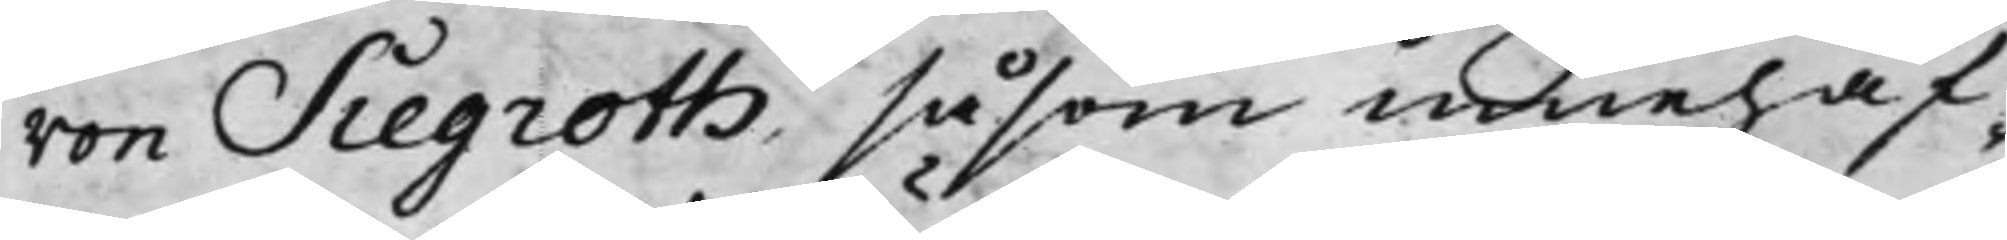von Siegroth, såsom innehaf¬
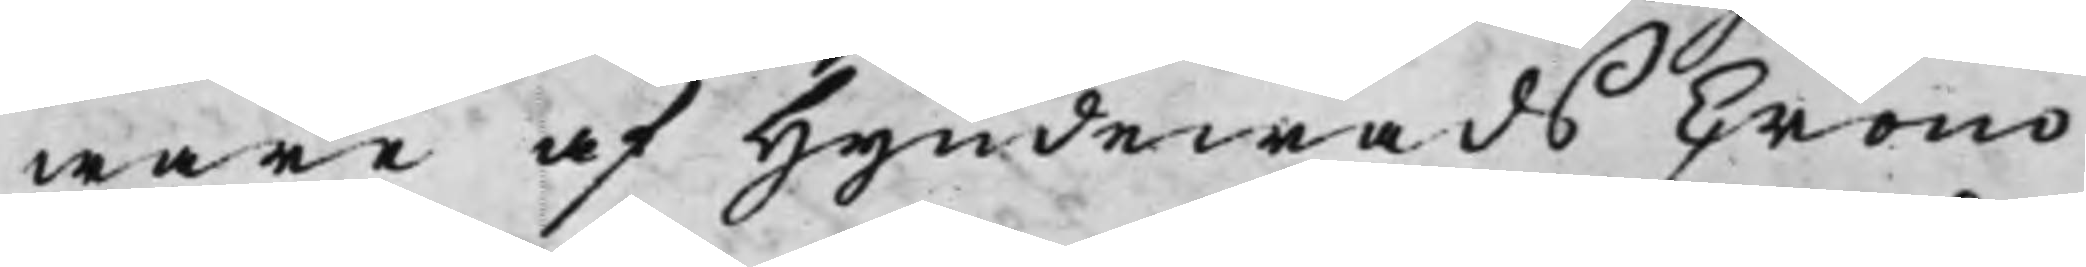ware af Hyndewads Crono
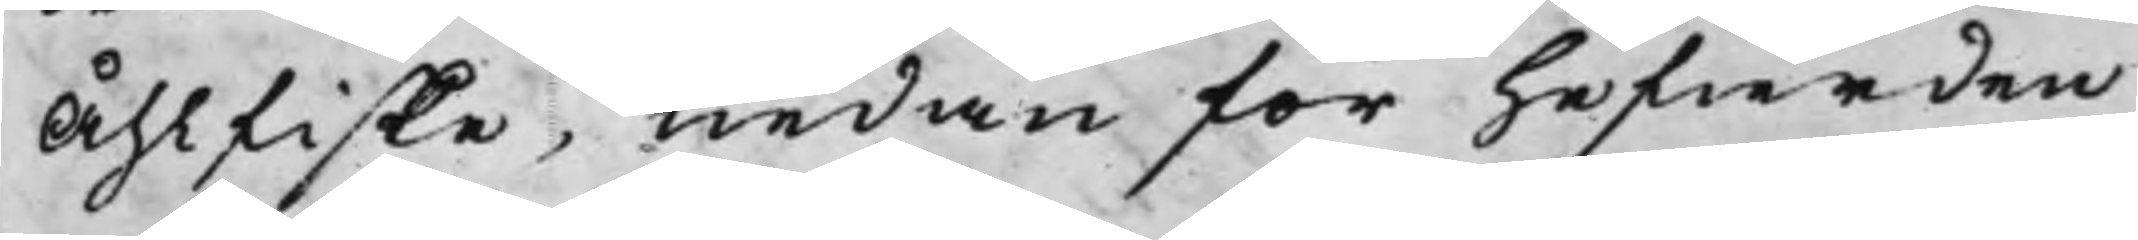Åhlfiske, nedan för hefierden
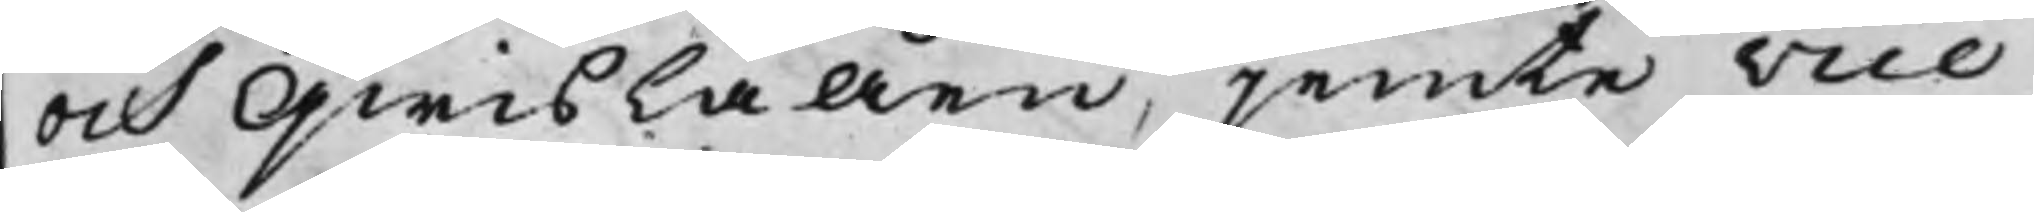och Qwislaåen, jemte vice
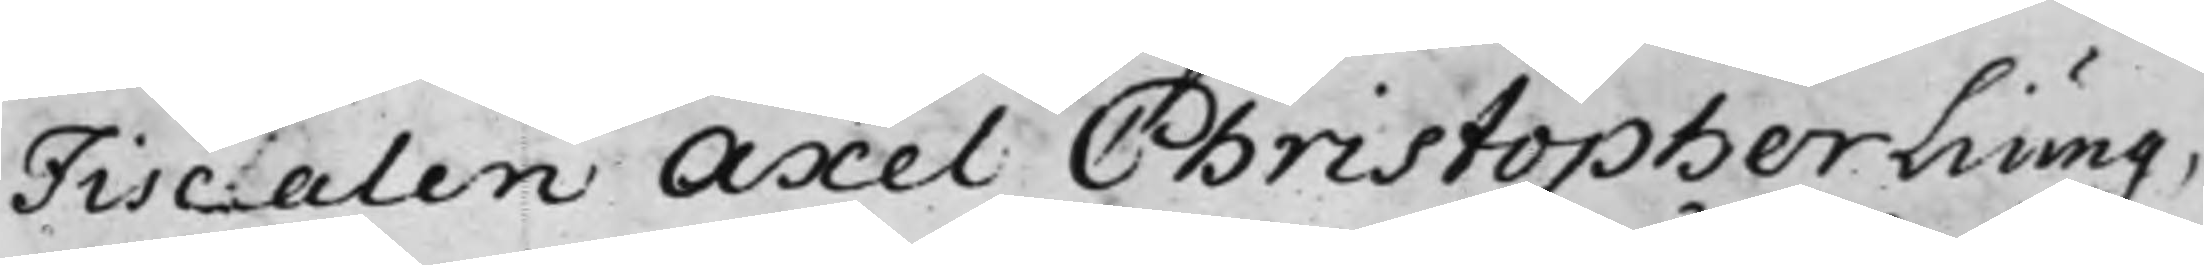Fiscalen Axel Christopher Liung,
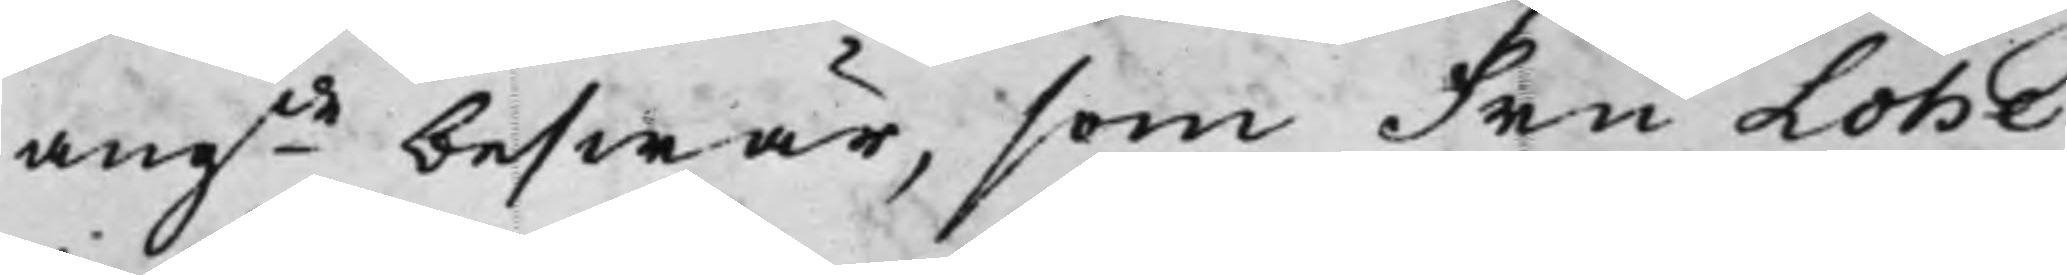angde beswär, som Fru Lohe
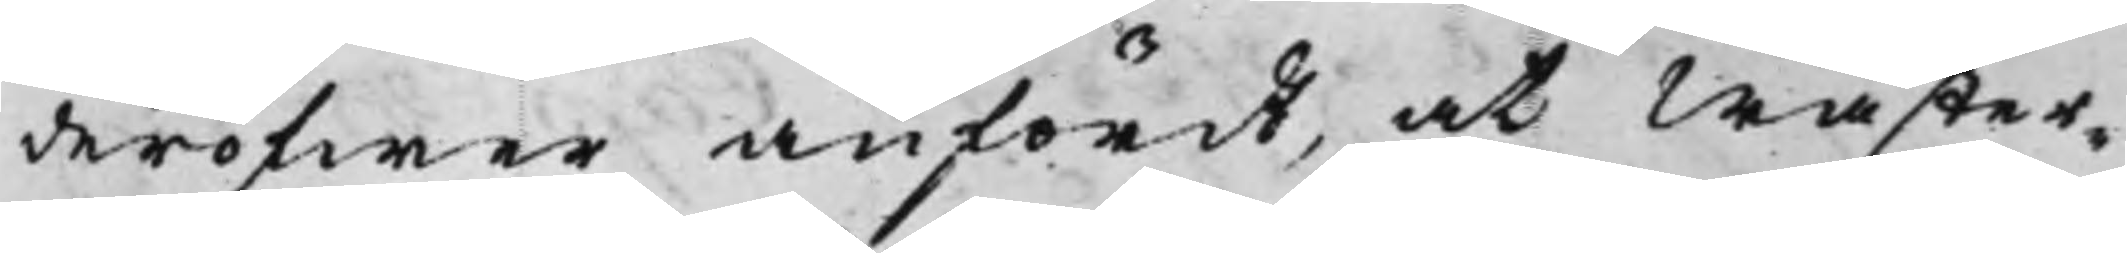deröfwer anfördt, at Wäster¬
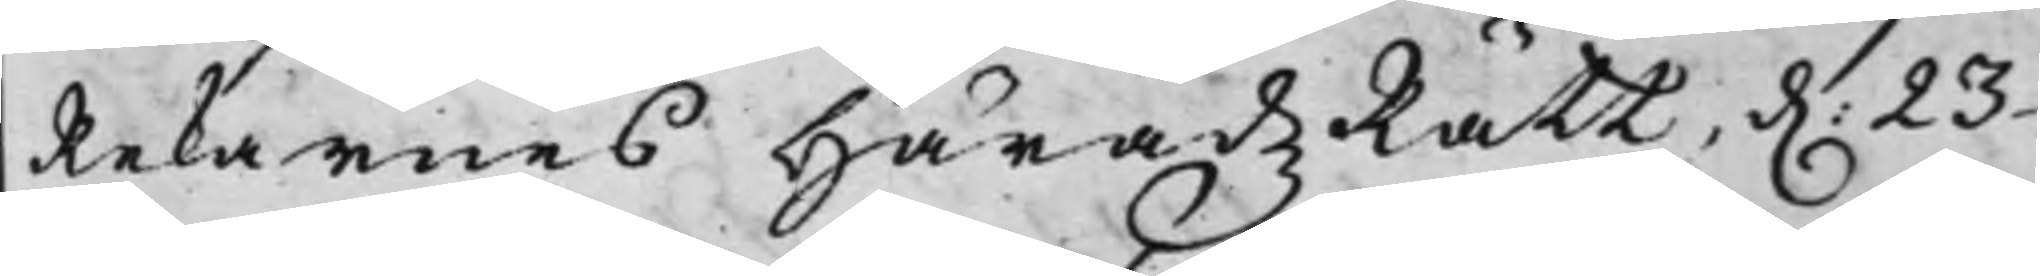Rekarnes HäradzRätt d. 23
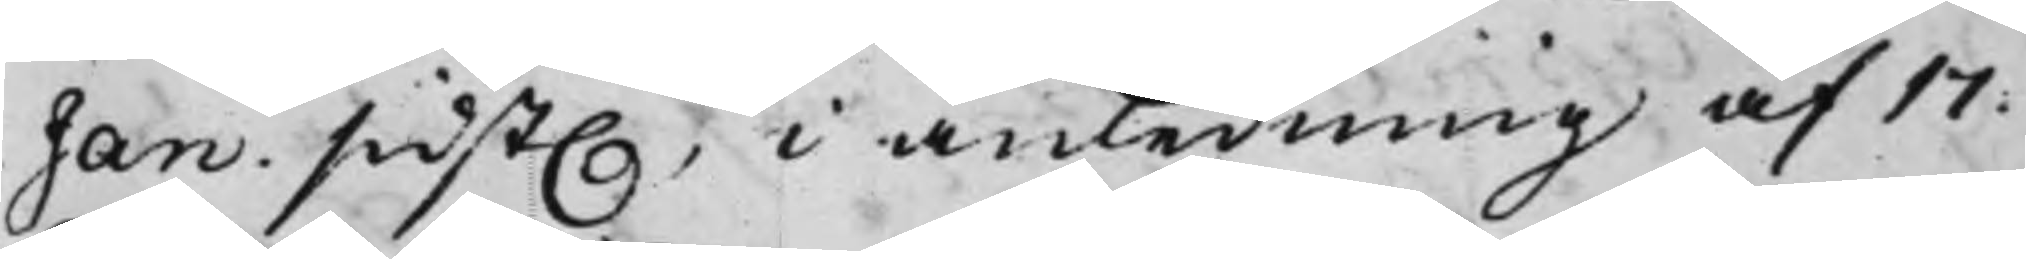Jan. sidst., i anledning af 17.
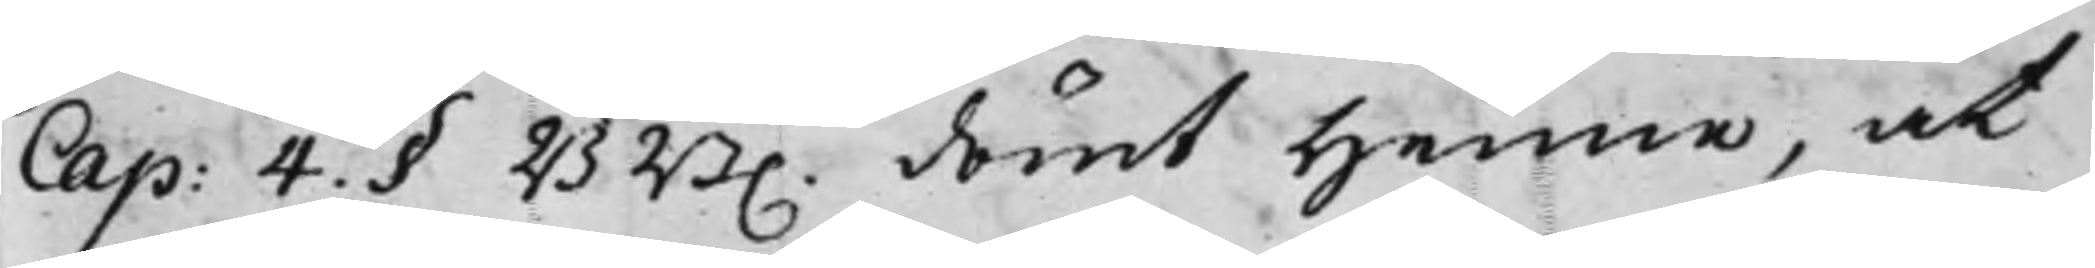Cap: 4. § BB. dömt henne, at
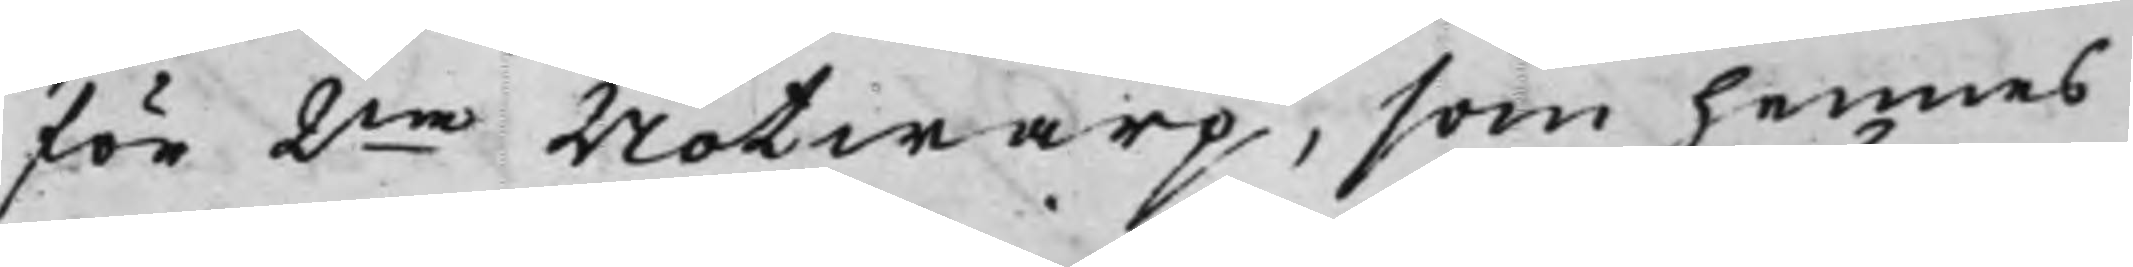för 2ne Notwarp, som hennes
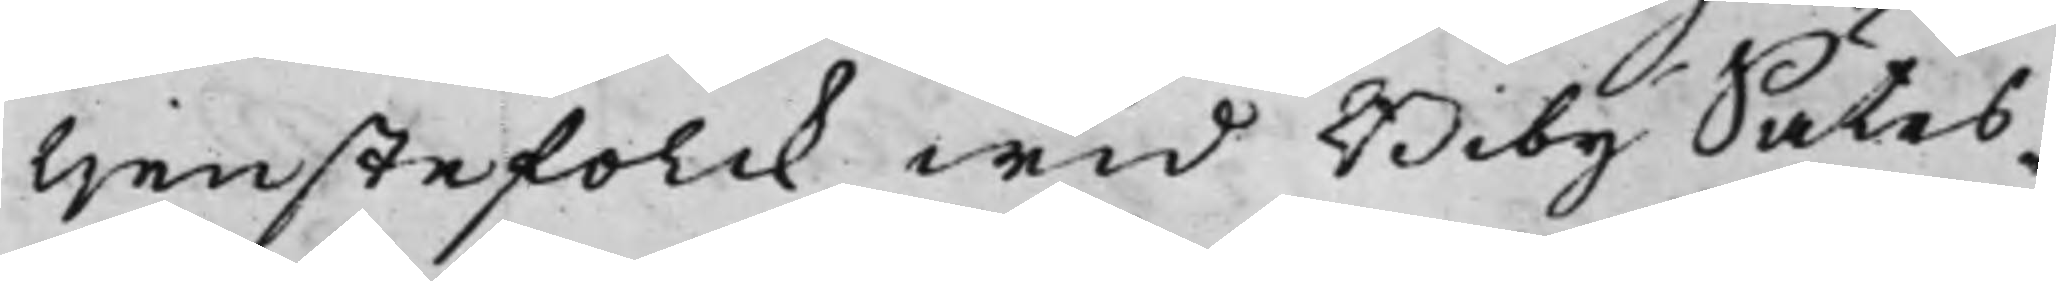tjenstefolck wid Biby Sätes¬
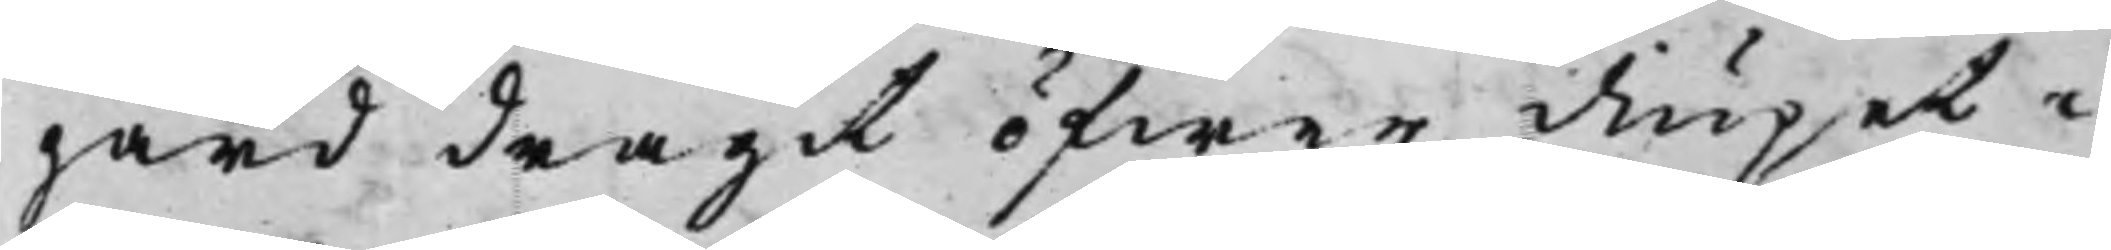gård dragit öfwer diupet i
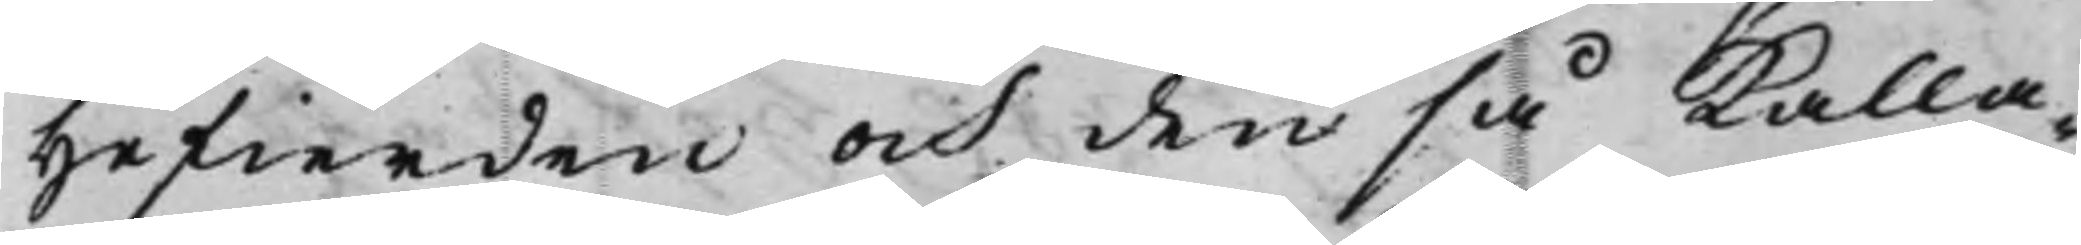Hefierden och den så kalla¬
